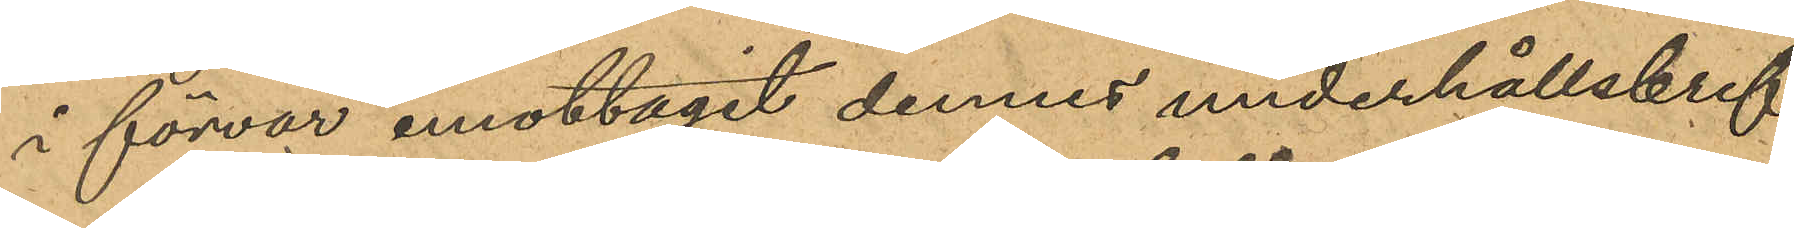i förvar mottagit dennes underhållsbref,
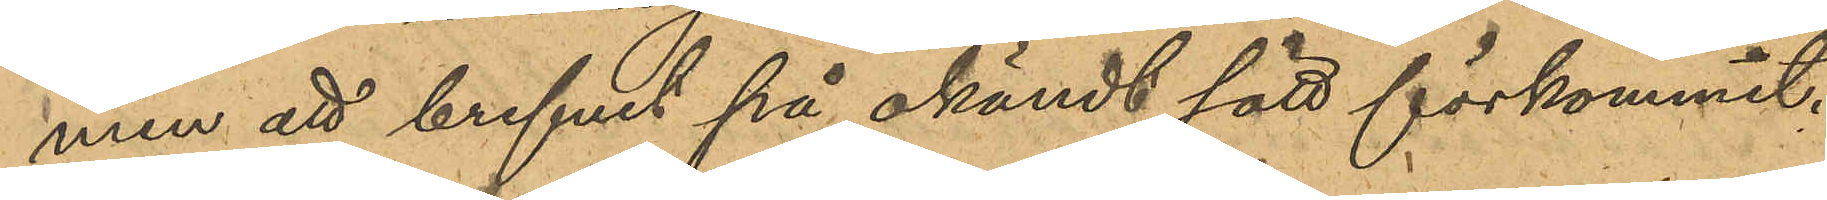men att brefvet på okändt sätt förkommit.
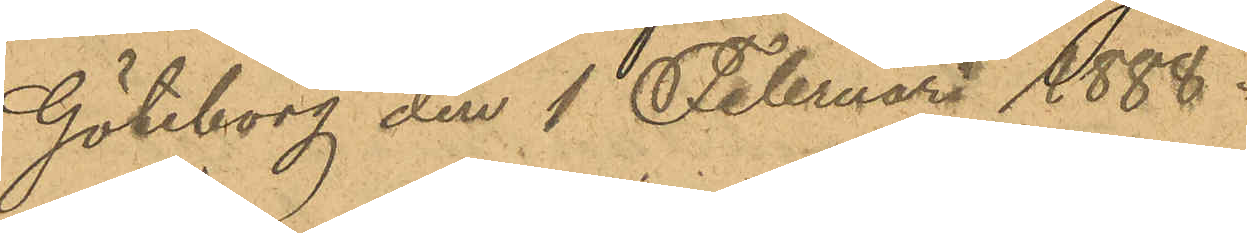Göteborg den 1 Februari 1888.
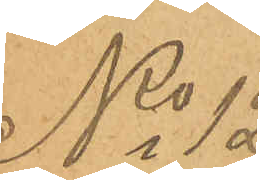No 12.
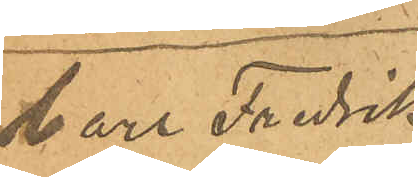Carl Fredrik
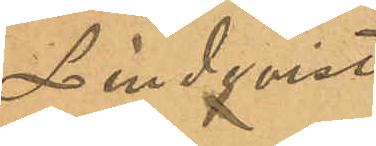Lindqvist
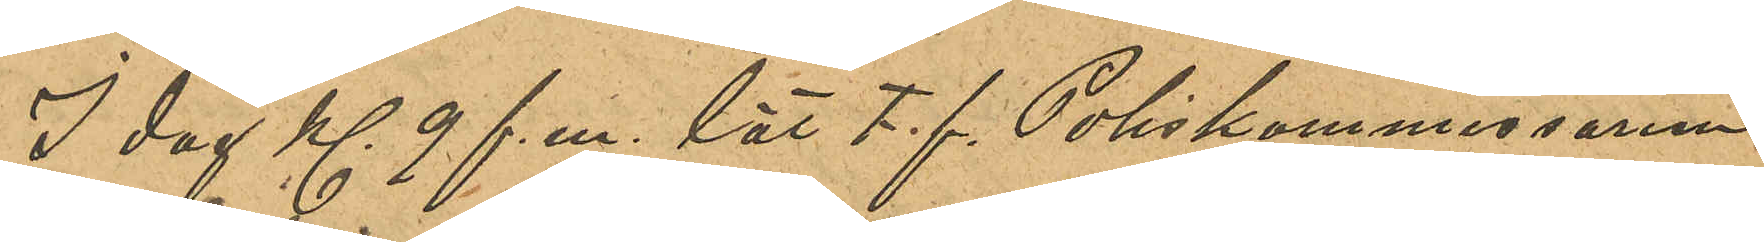I dag Kl 9 f. m. lät t.f. Poliskommisarien
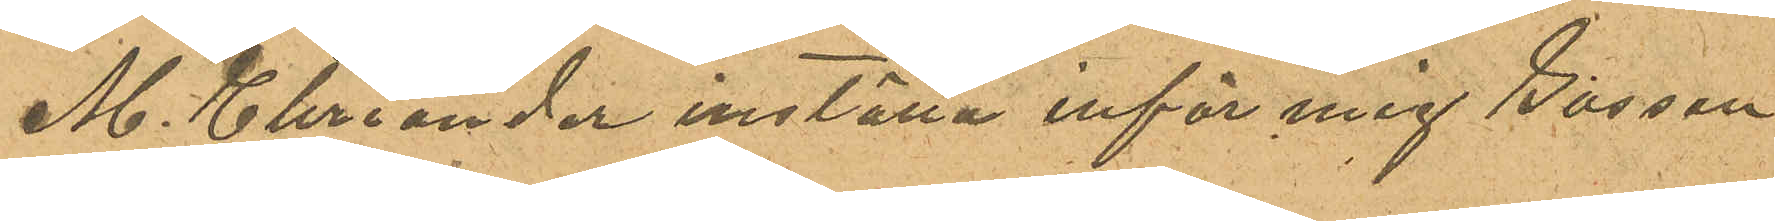M. Ehriander inställa inför mig Gossen
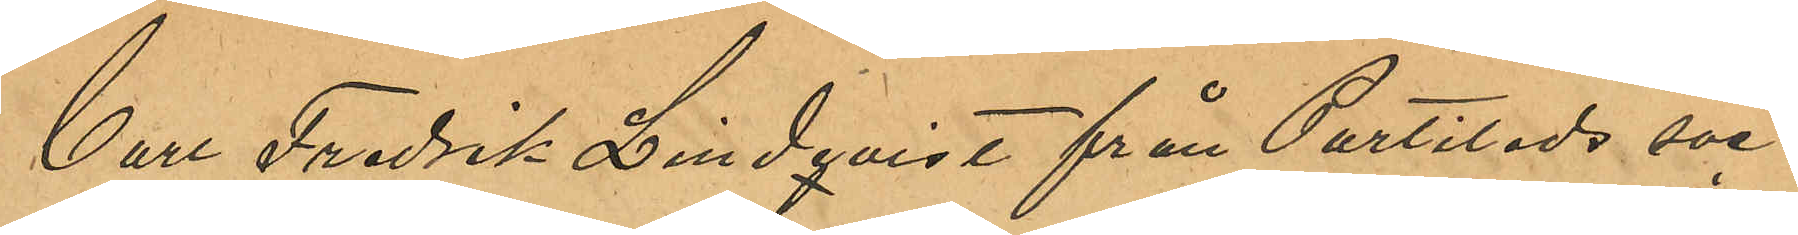Carl Fredrik Lindqvist från Partilleds soc¬
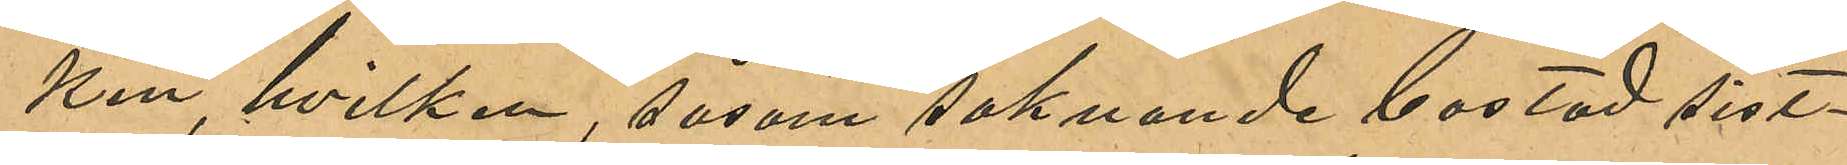ken, hvilken, såsom saknande bostad sist¬
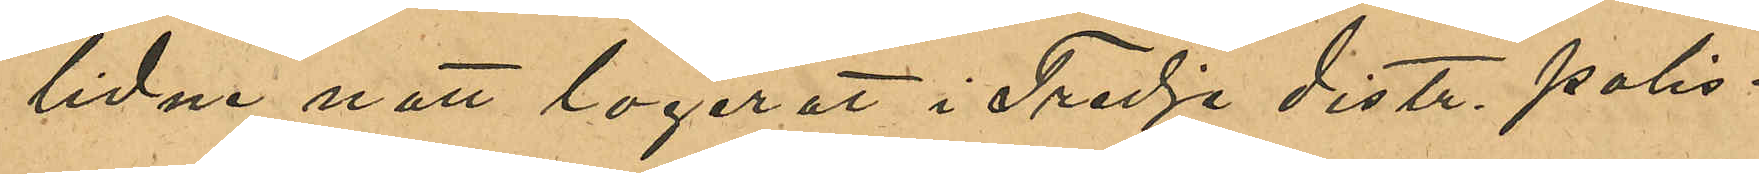lidne natt logerat i Tredje distr. polis¬
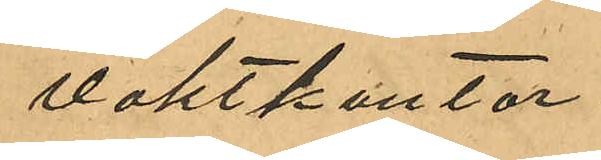vaktkontor.
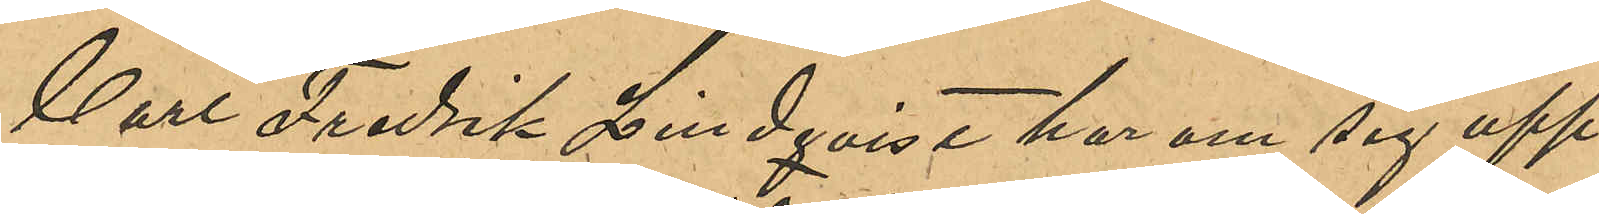Carl Fredrik Lindqvist har om sig upp¬
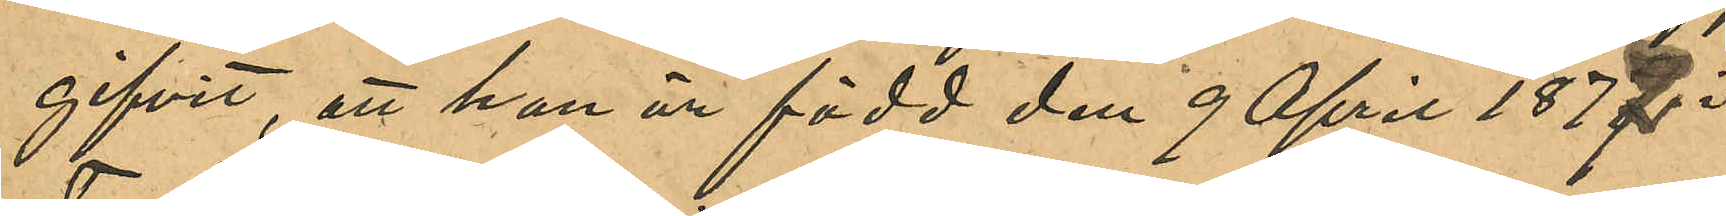gifvit, att han är född den 9 April 1877 i
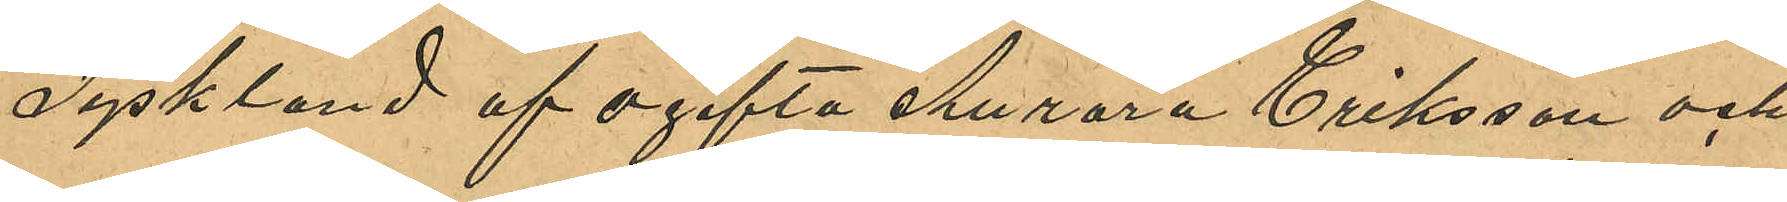Tyskland af ogifta Aurora Eriksson och
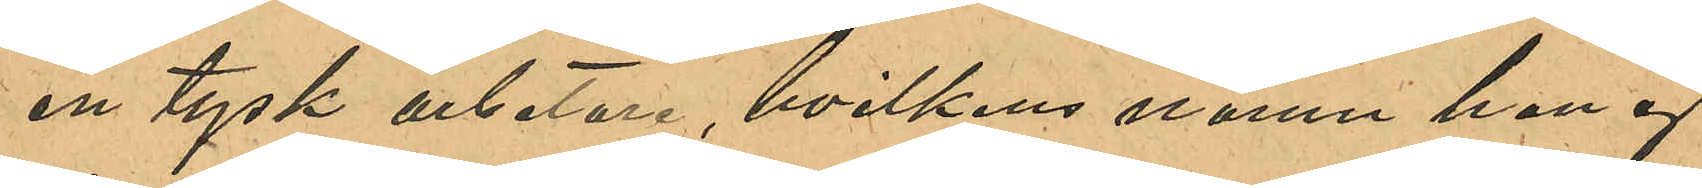en tysk arbetare, hvilkens namn han ej
